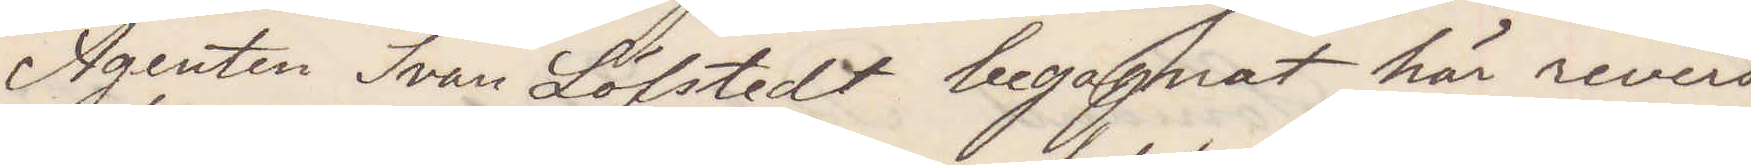Agenten Ivan Löfstedt begagnat här revers
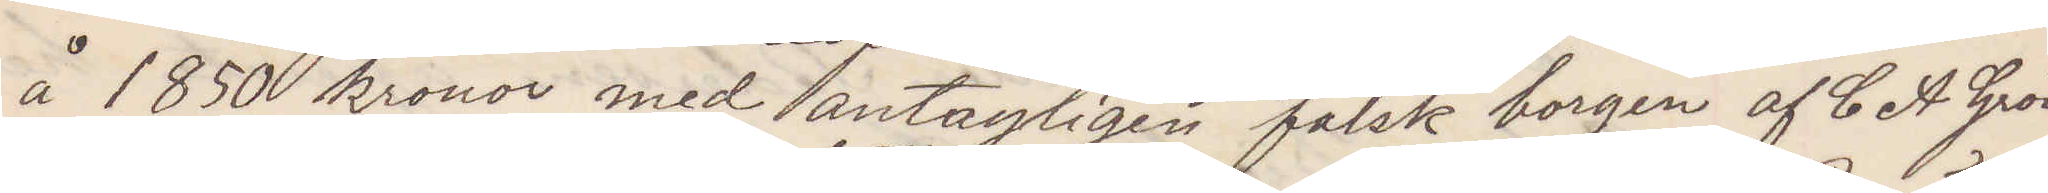å 1850 kronor med antagligen falsk borgen af C A Grön¬
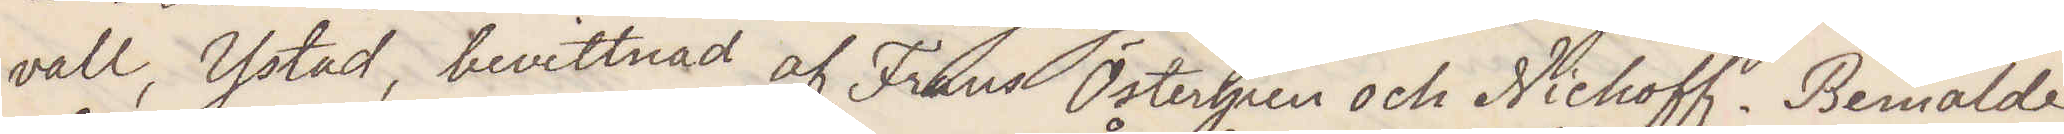vall, Ystad, bevittnad af Frans Östergren och Nichoff. Bemälde
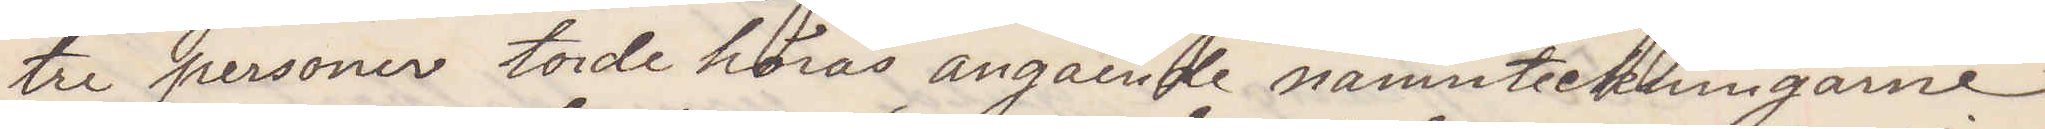tre personer torde höras angående namnteckningarne
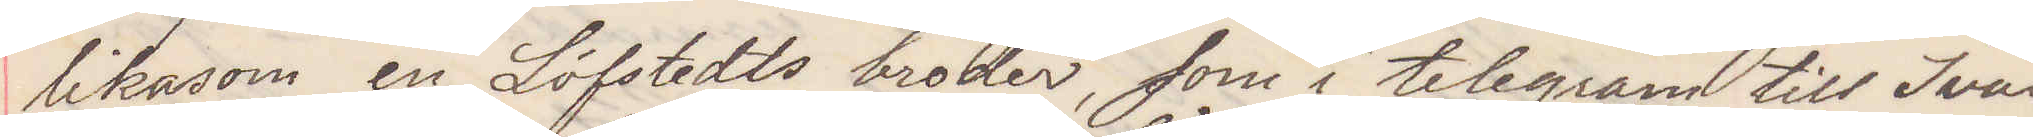likasom en Löfstedts broder, som i telegram till Ivan
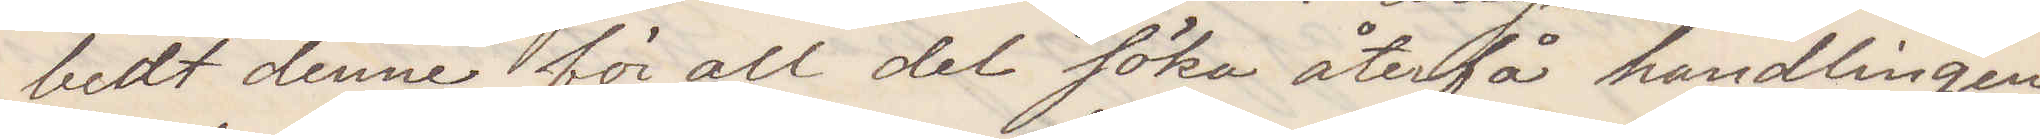bedt denne för all del söka återfå handlingen
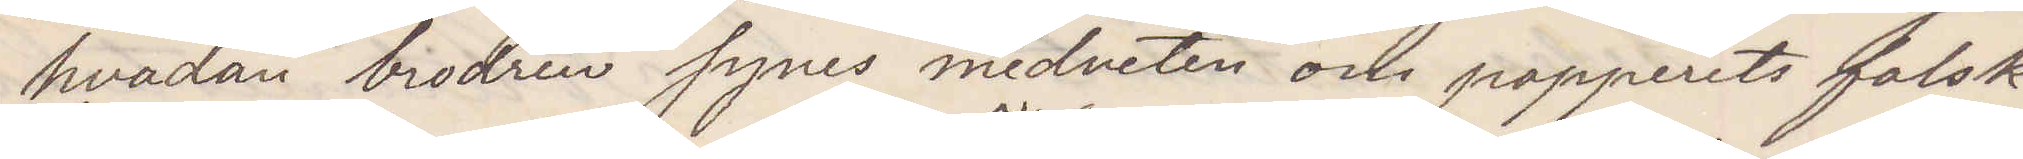hvadan brodern synes medveten om papperets falsk¬
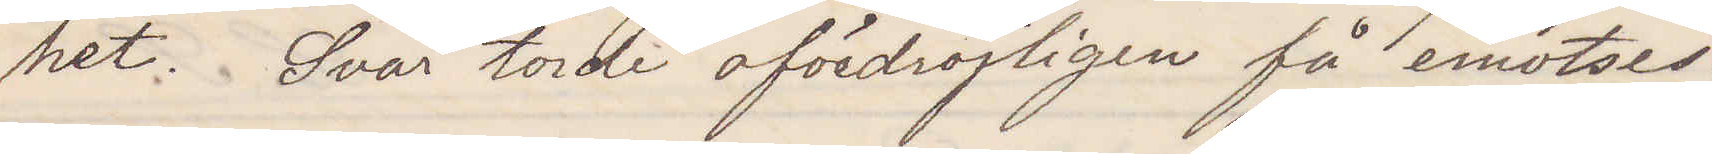het. Svar torde ofördröjligen få emotses.
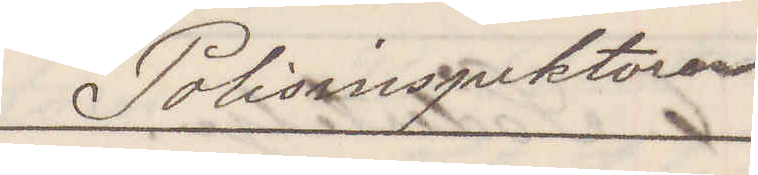Polisinspektorn
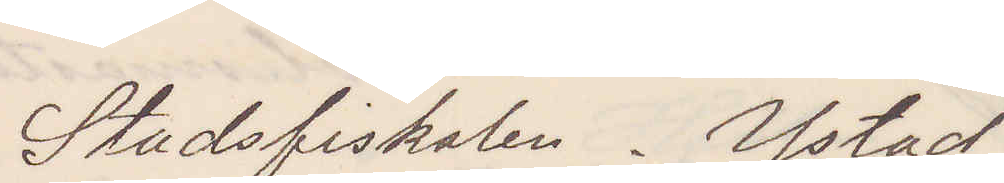Stadsfiskalen. Ystad
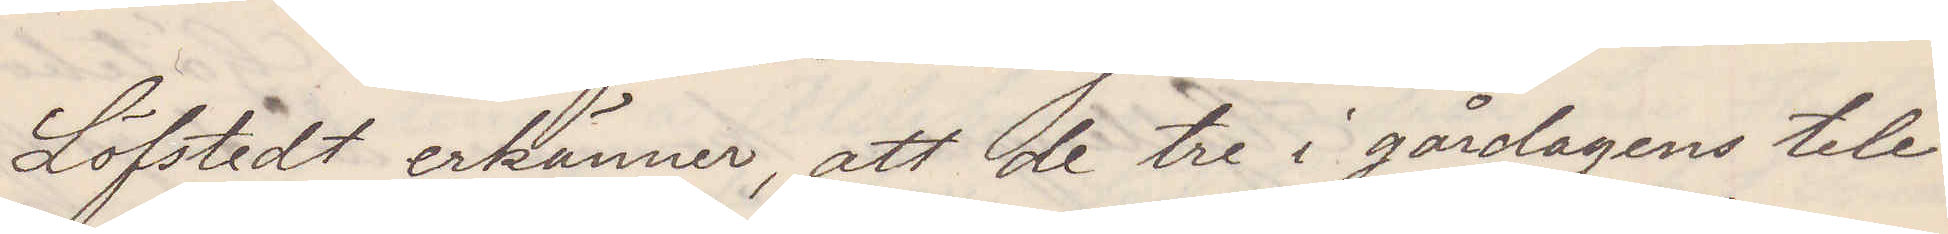Löfstedt erkänner att de tre i gårdagens tele¬
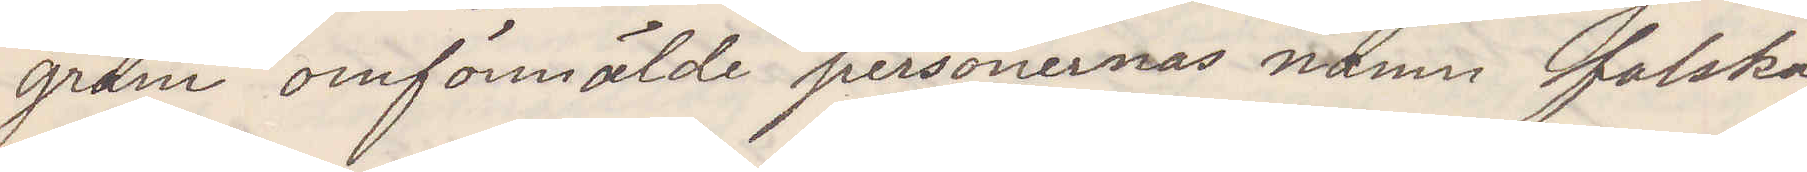gram omförmälde personernas namn falska
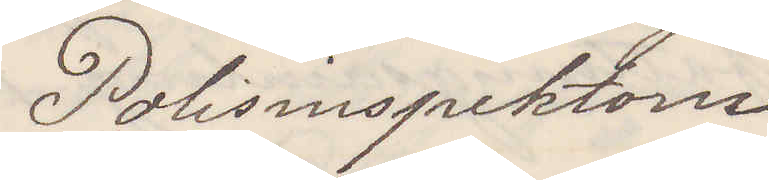Polisinspektorn
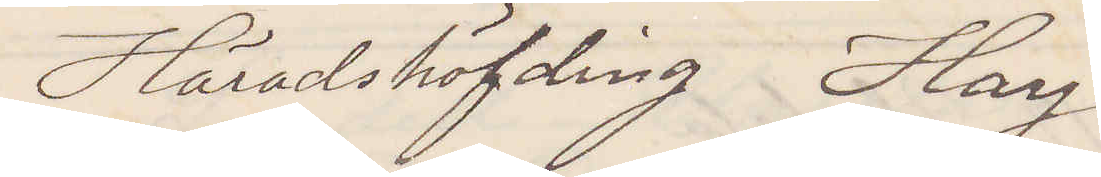Häradshöfding Hay.
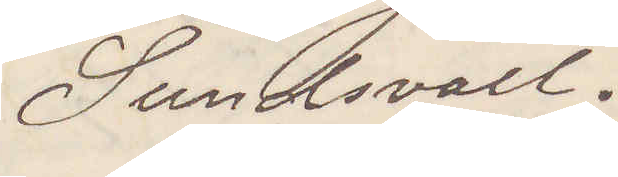Sundsvall.
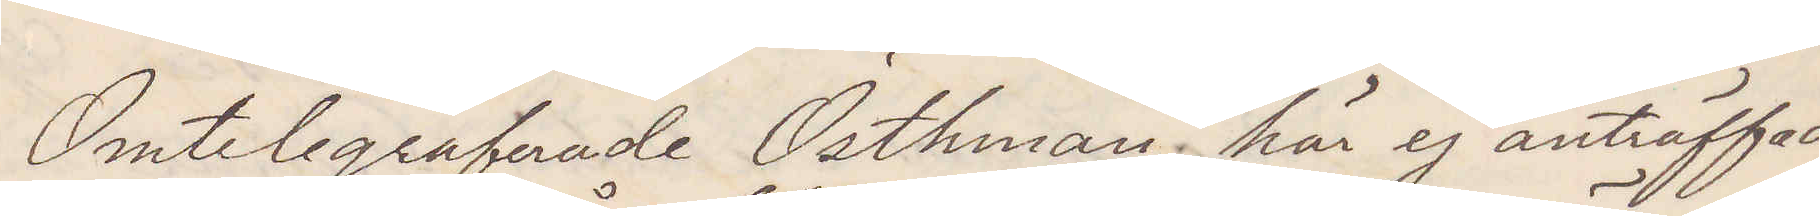Omtelegraferade Östhman här ej anträffad
